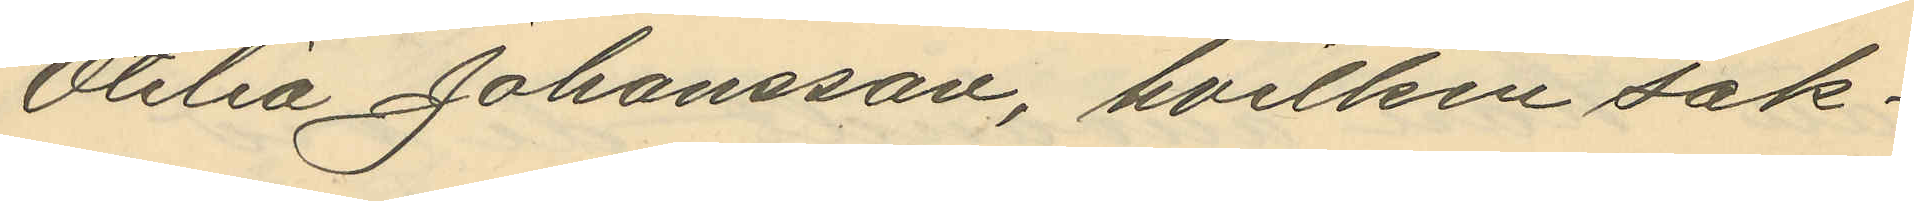Otilia Johansson, hvilken sak¬
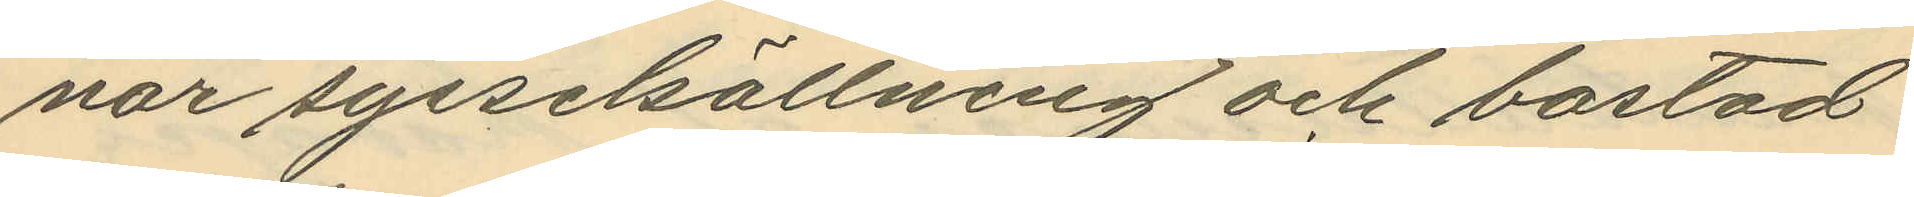nar sysselsällning och bostad
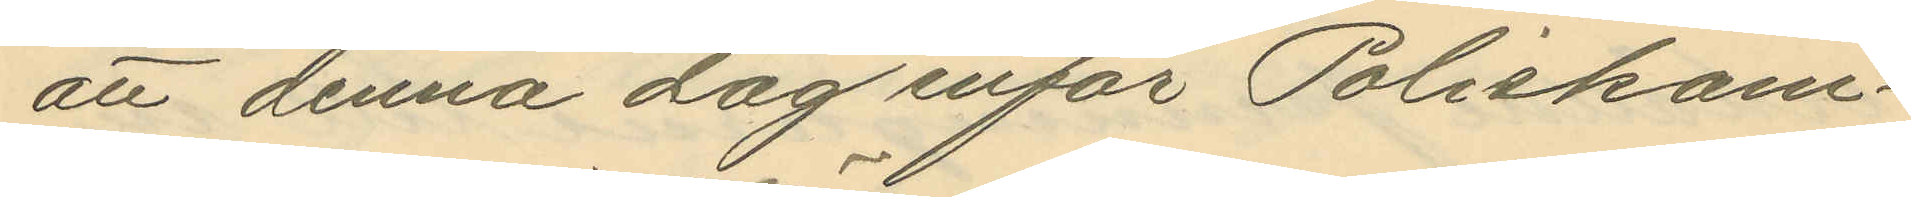att denna dag inför Poliskam¬
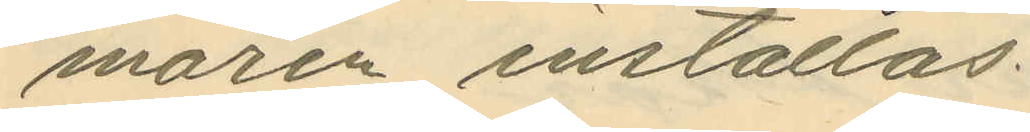maren inställas.
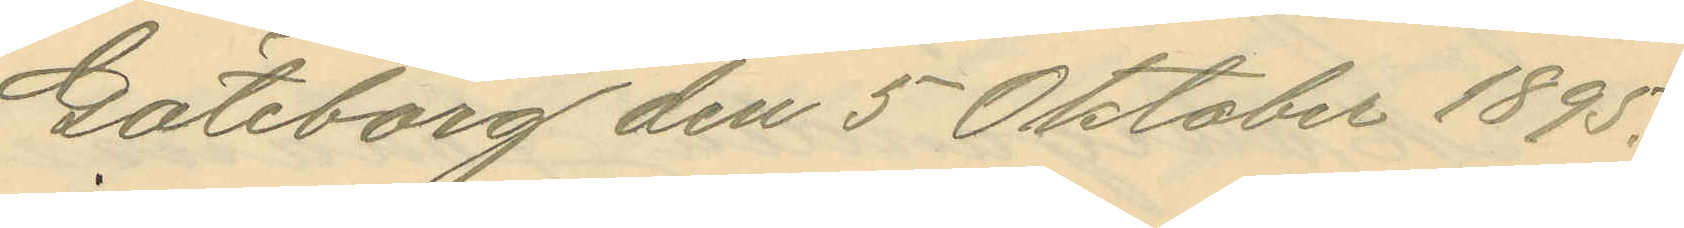Göteborg den 5 Oktober 1895.
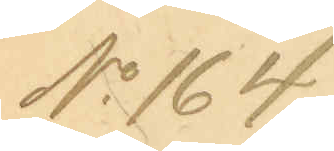No 164.
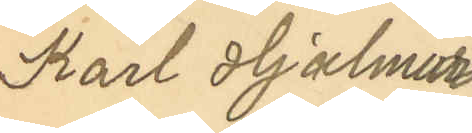Karl Hjalmar
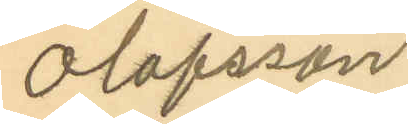Olofsson
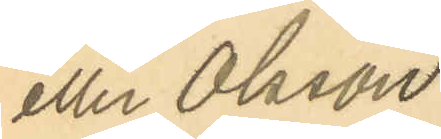eller Olsson
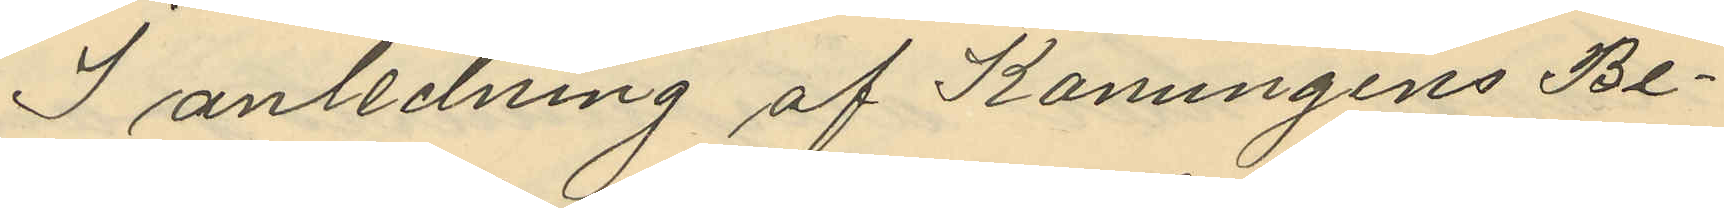I anledning af Konungens Be¬
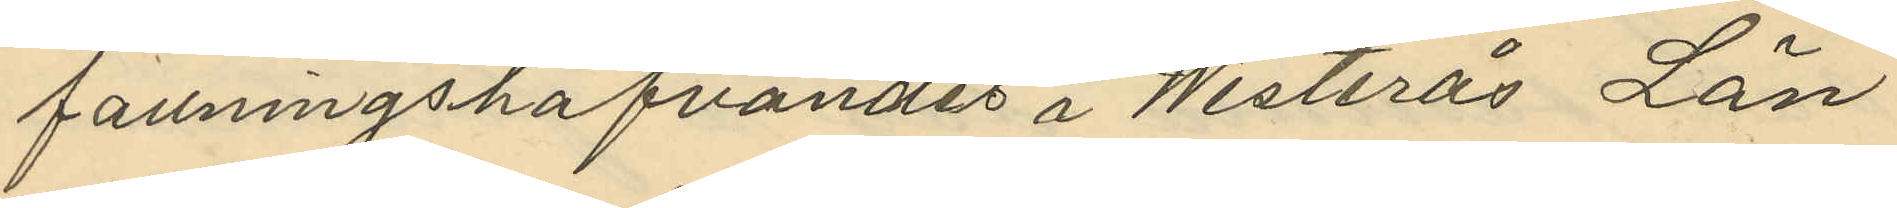fattningshafvandes i Westerås Län
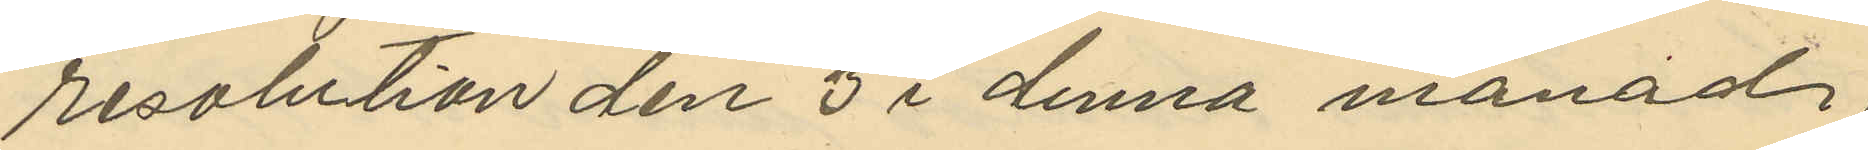resolution den 3 i denna månad
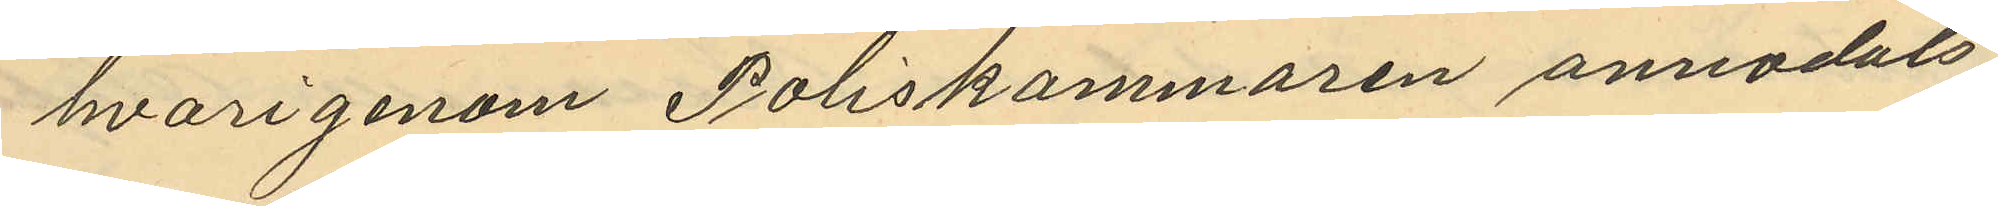hvarigenom Poliskammaren anmodats
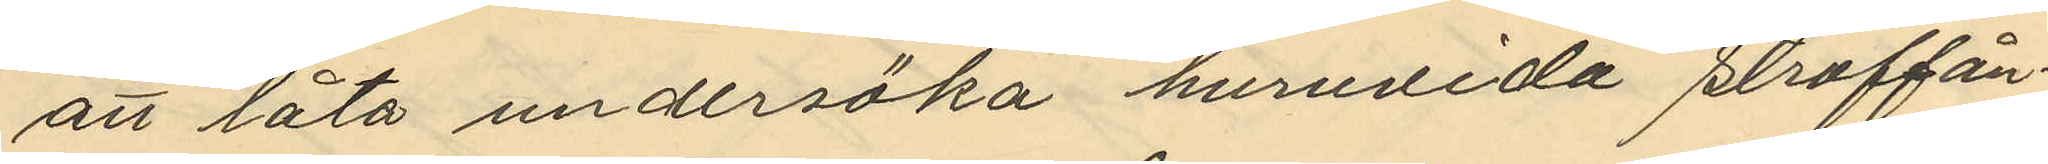att låta undersöka huruvida straffån¬
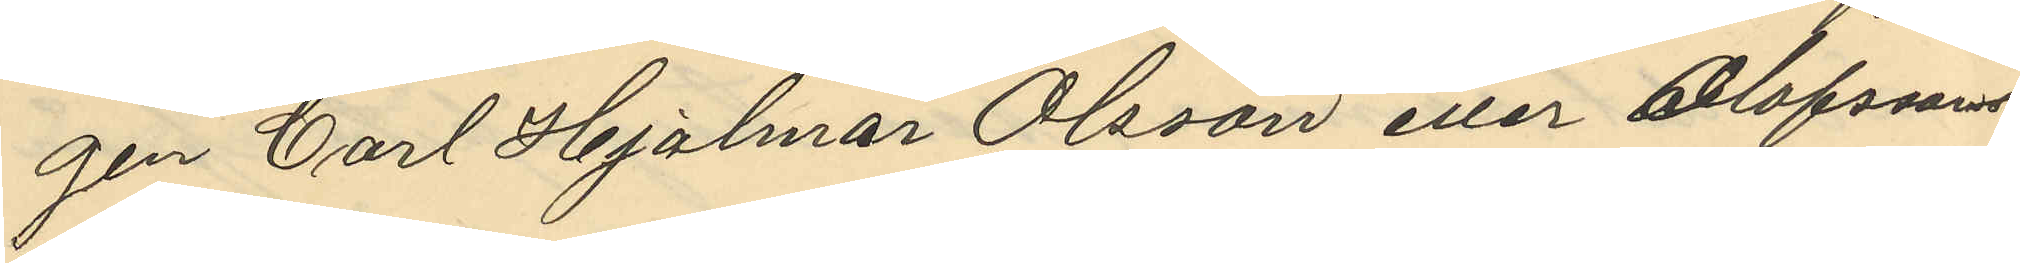gen Carl Hjalmar Olsson eller Olofssons
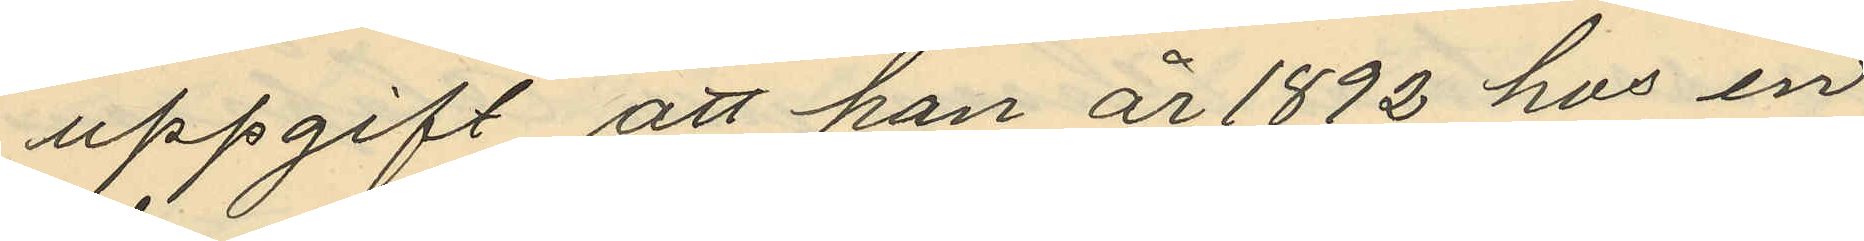uppgift att han är 1892 hos en
